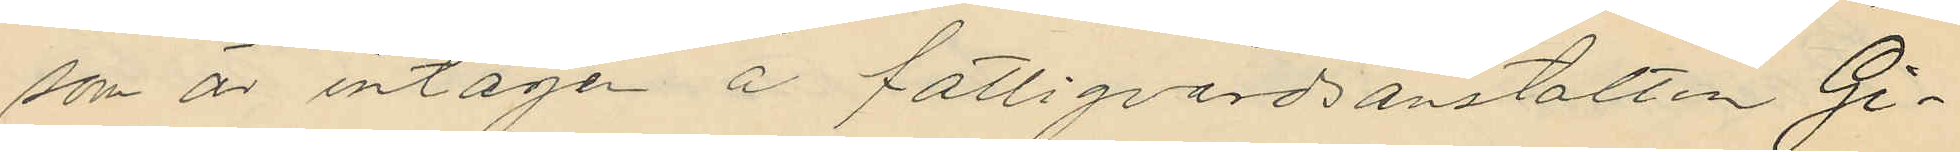som är intagen å fattigvårdsanstalten Gi¬
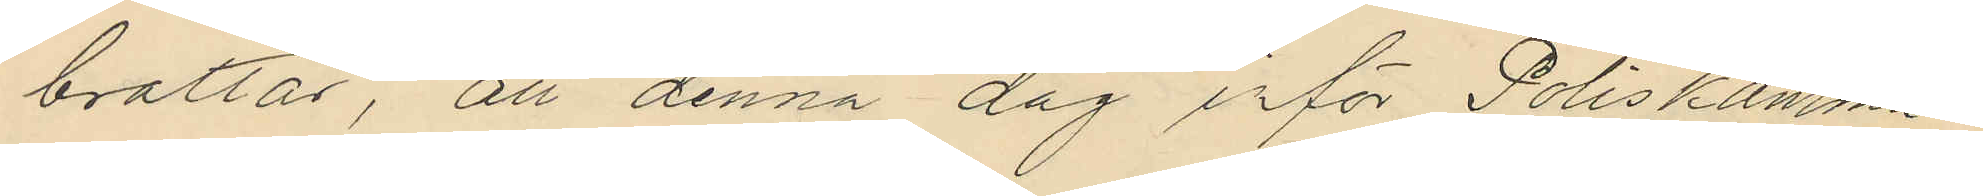braltar, att denna dag inför Poliskamma¬
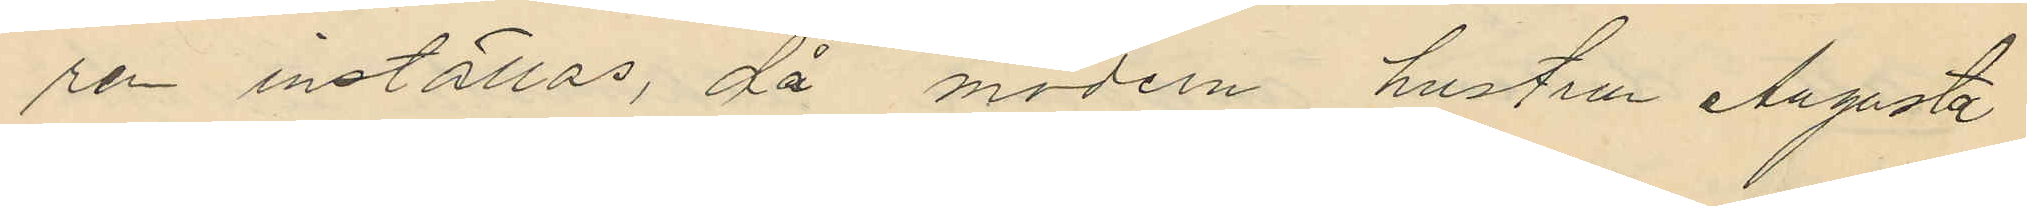ren inställas, då modern hustrun Augusta
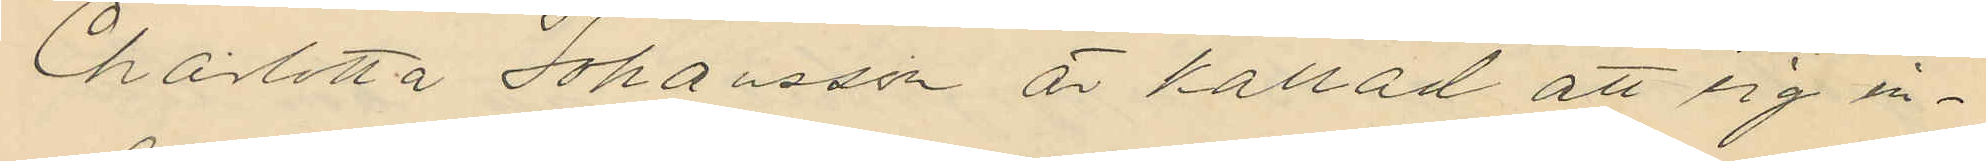Charlotta Johansson är kallad att sig in¬
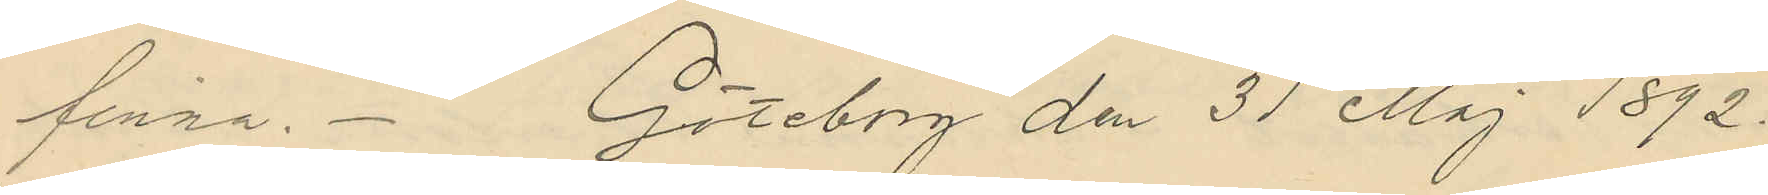finna. Göteborg den 31 Maj 1892.
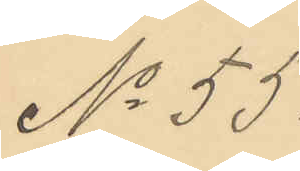No 55.
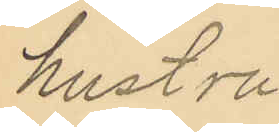hustru
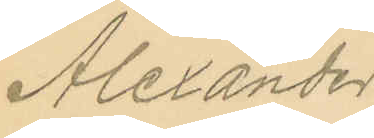Alexander
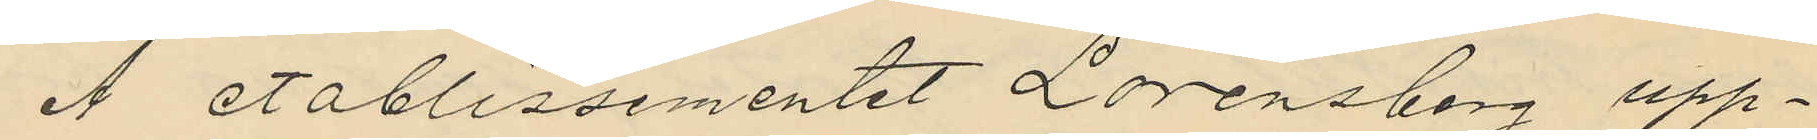Å etablissementet Lorensberg upp¬
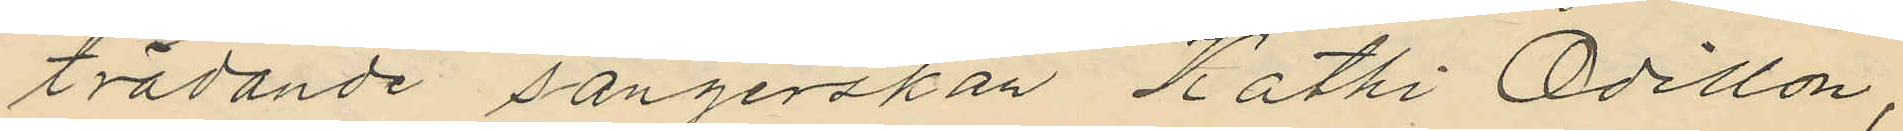trädande sångerskan Kathi Odillon,
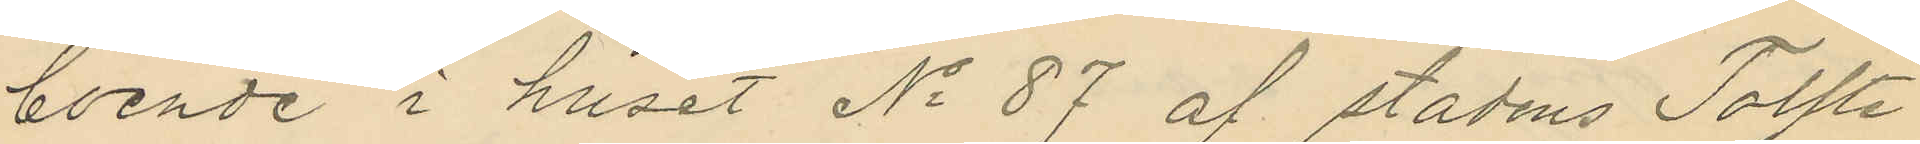boende i huset No 87 af stadens Tolfte
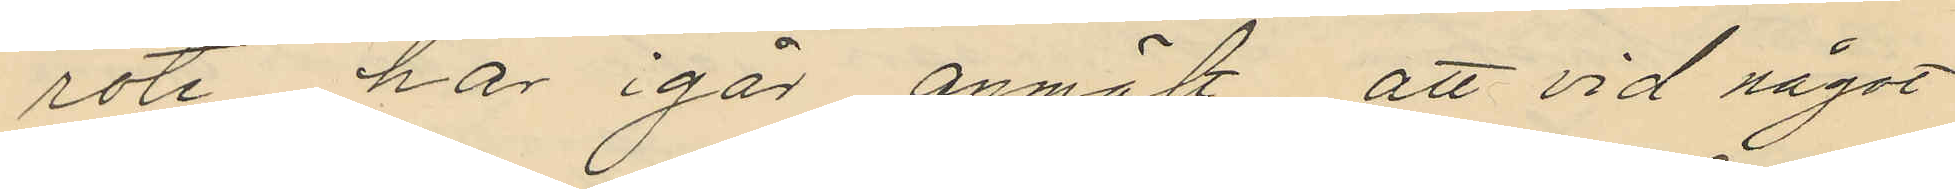rote har igår anmält att vid något
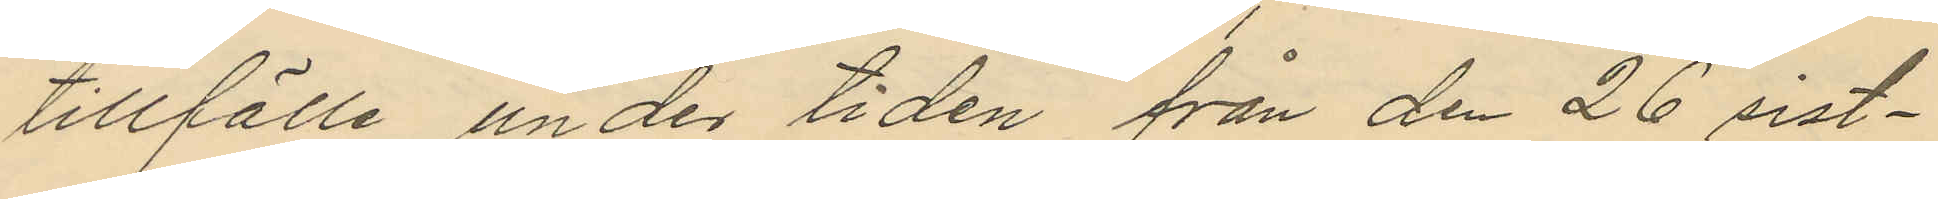tillfälle under tiden från den 26 sist¬
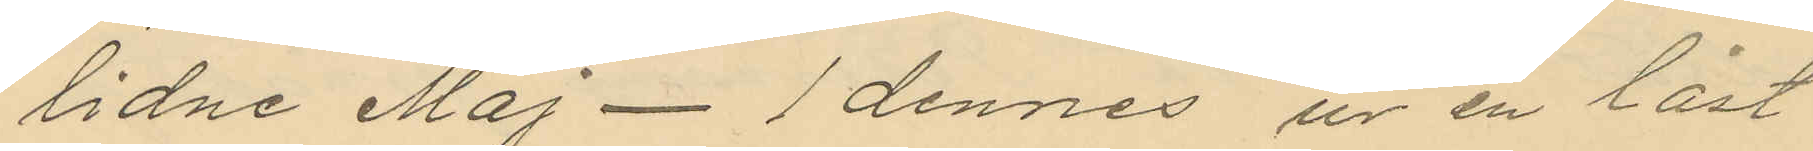lidne Maj - 1 dennes ur en låst
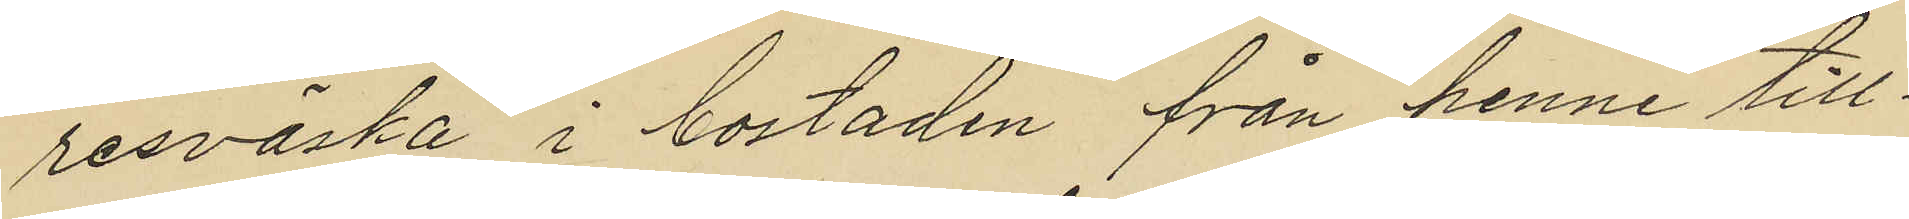resväska i bostaden från henne till¬
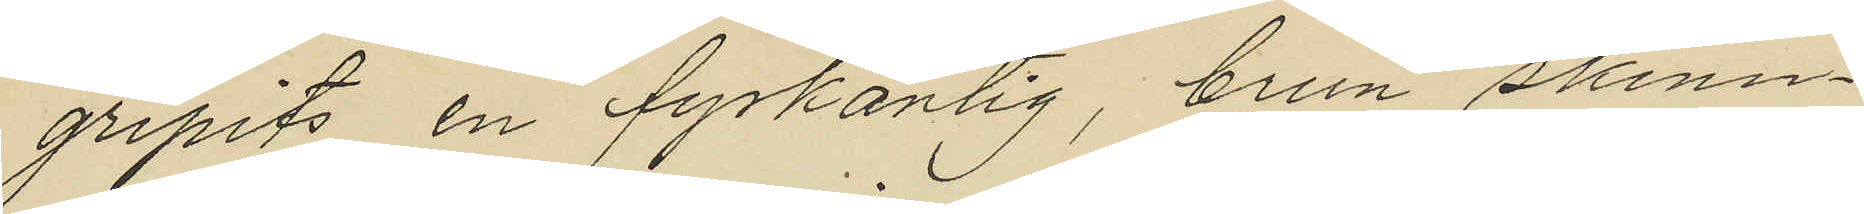gripits en fyrkantig, brun skinn¬
